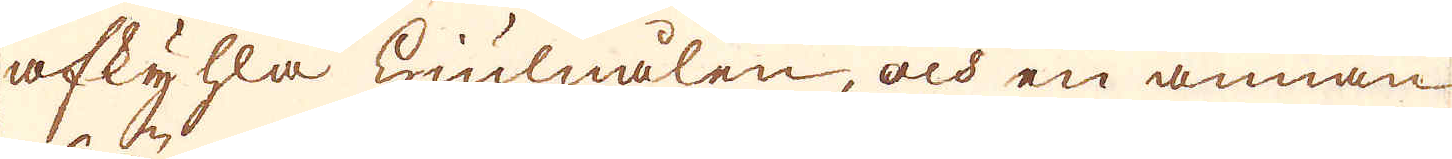afkyhla hiulnålen, och en annan
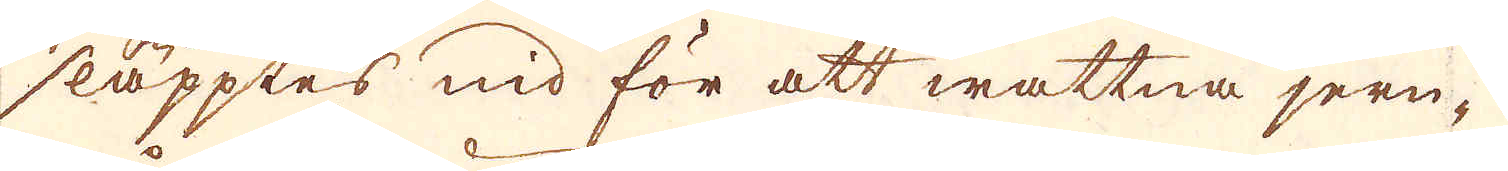släpptes nid för att wattna jern-
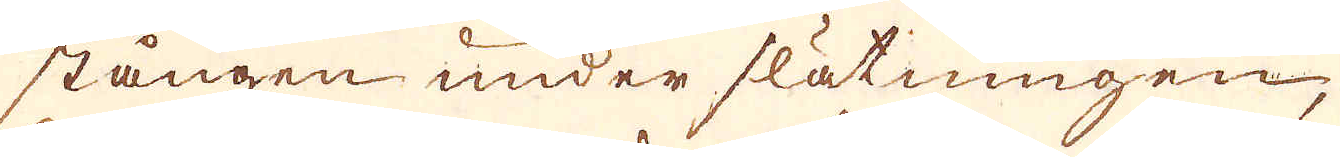stången under slätningen,
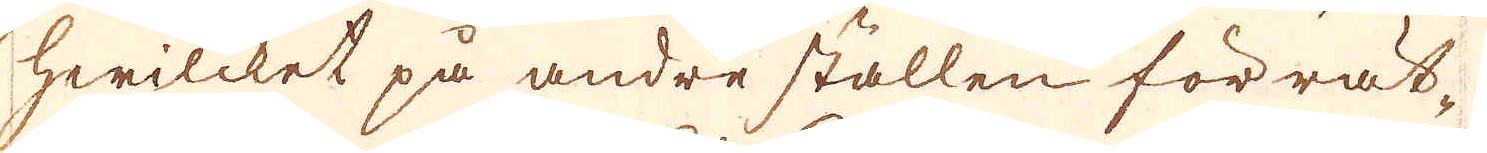hwilcket på andre ställen förrät-
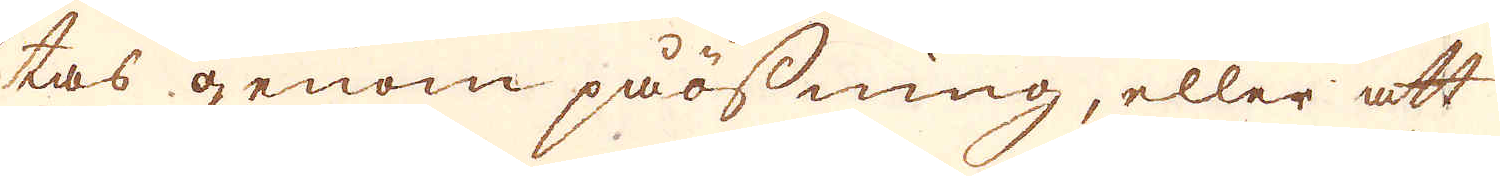tas genom påösning, eller att
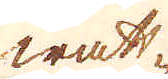watt-
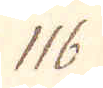116.
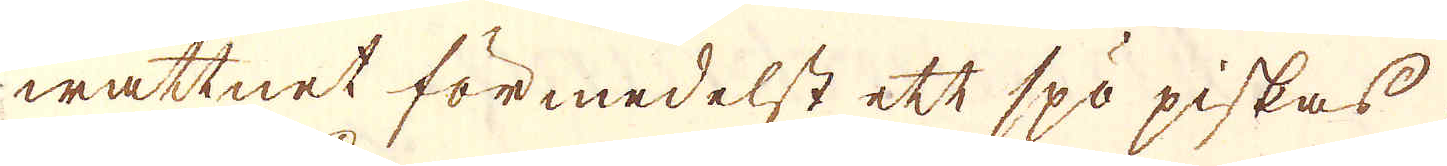wattnet förmedelst ett spö piskas
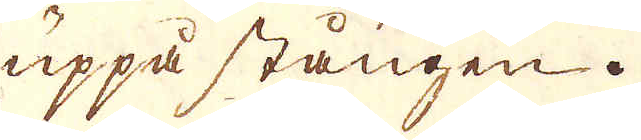uppå stången.
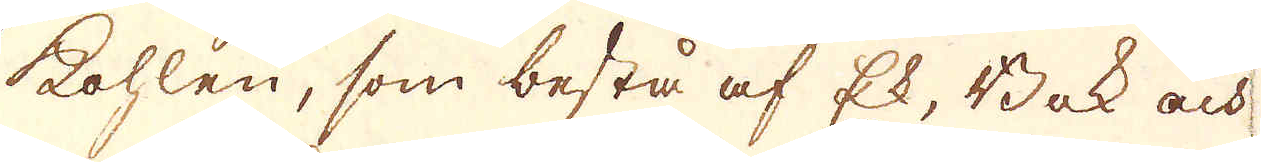Kohlen, som bestå af Ek, Bok och
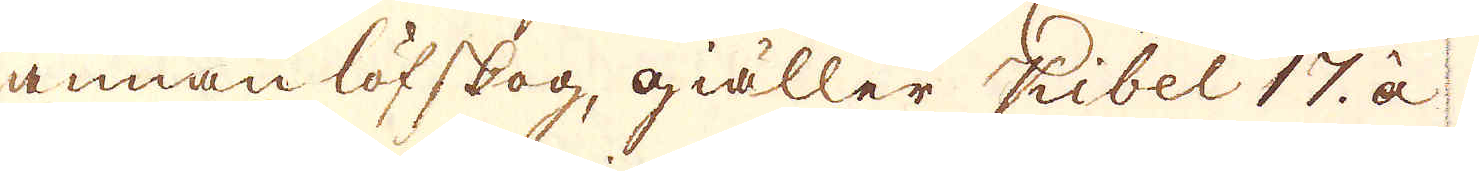annan löfskog, giäller Kibel 17. à
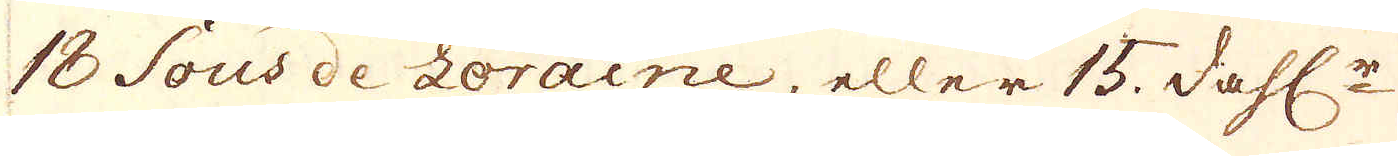18 Sous de Loraine, eller 15. dahl:r
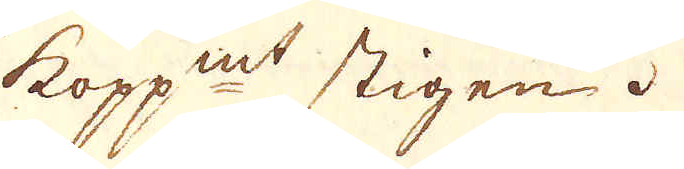kopp:mt stigen.
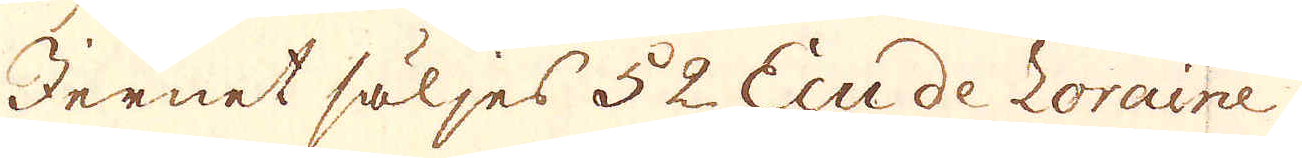Jernet säljes 52 Ecu de Loraine
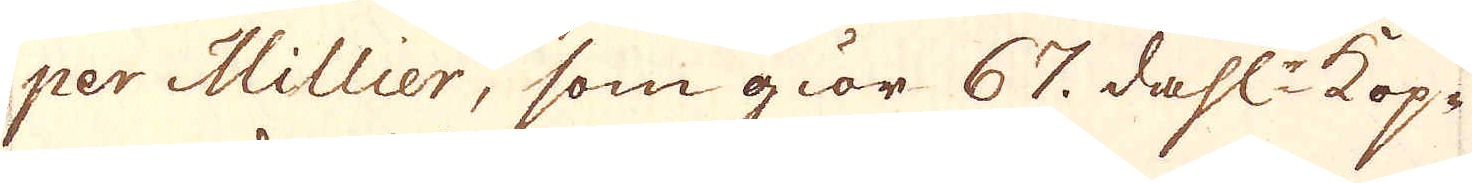per Millier, som giör 67. dahl:r kop-
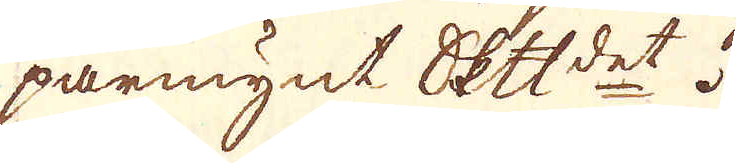parmynt skeppundet.
